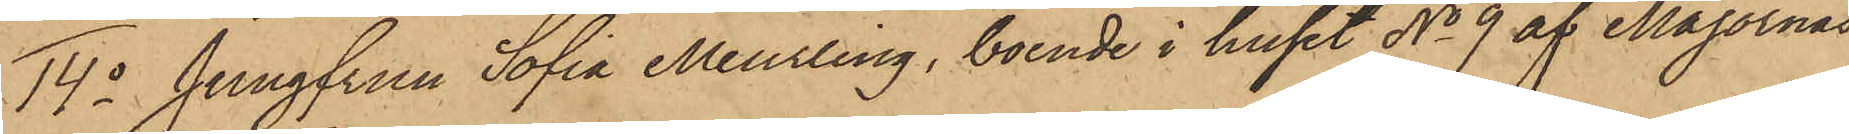14o Jungfrun Sofia Meurling, boende i huset No 9 af Majornas
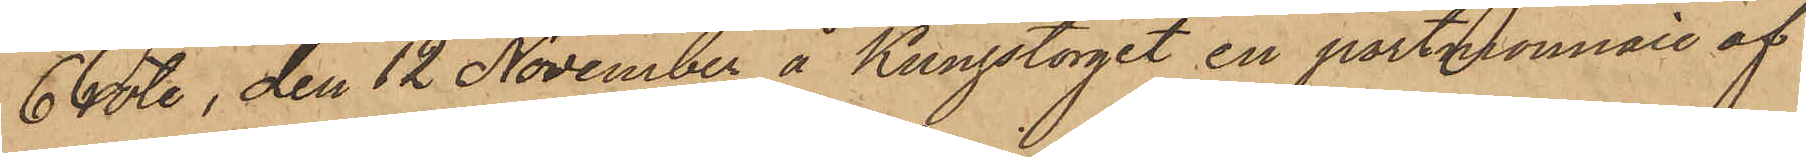6 rote, den 12 November å Kungstorget en portmonnaie af
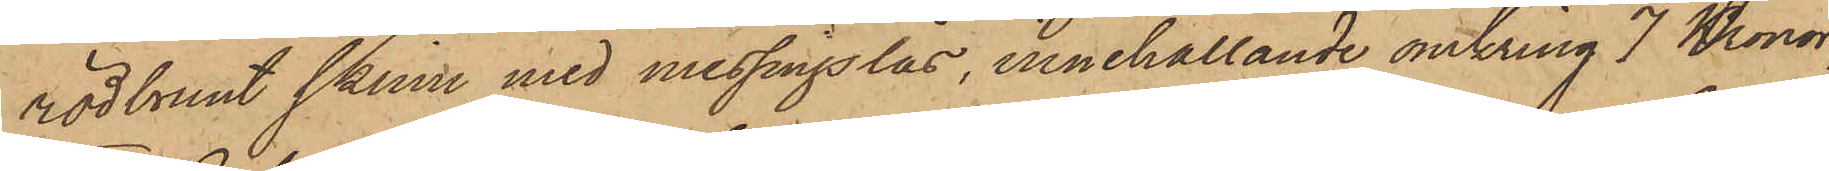rödbrunt skinn med messingslås, innehållande omkring 7 Kronor;
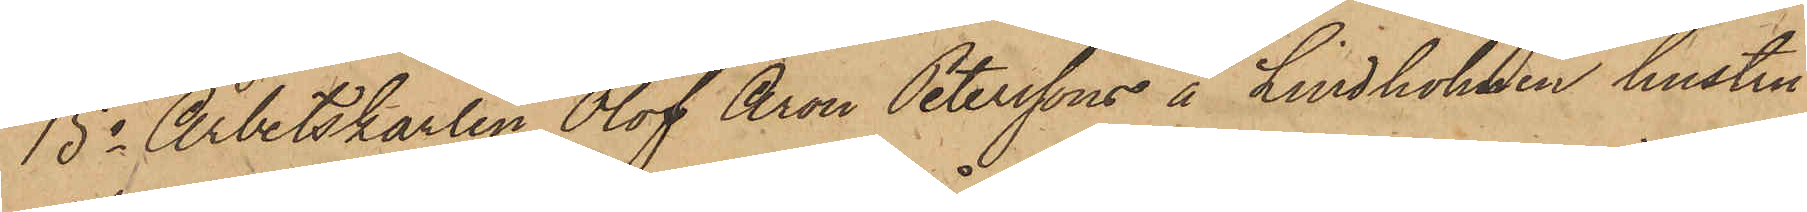15o Arbetskarlen Olof Aron Peterssons å Lindholmen hustru
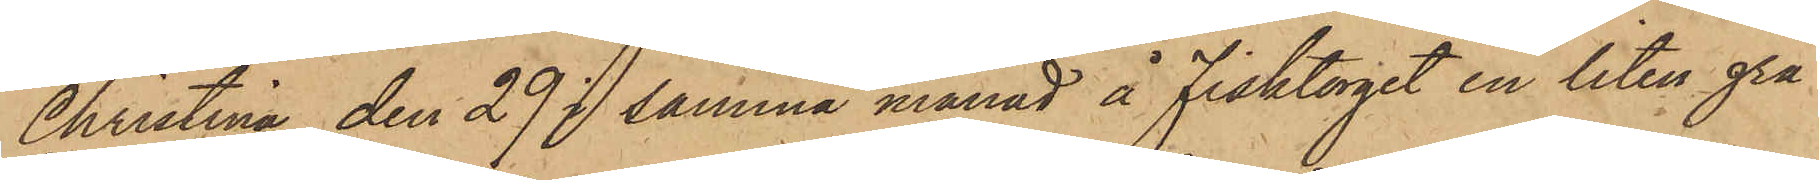Christina den 29 i samma månad å Fisktorget en liten grå
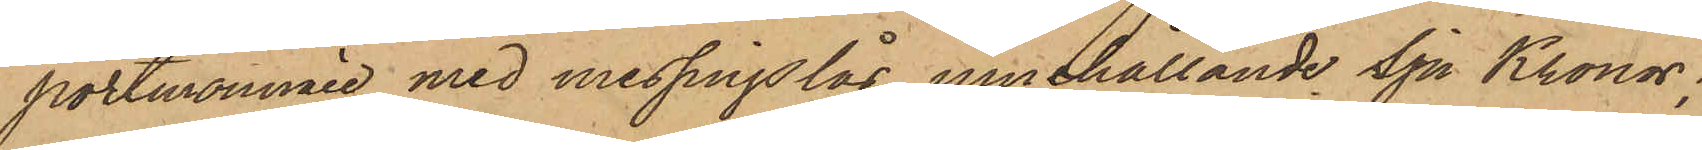portmonnaie med messingslås innehållande Sju Kronor;
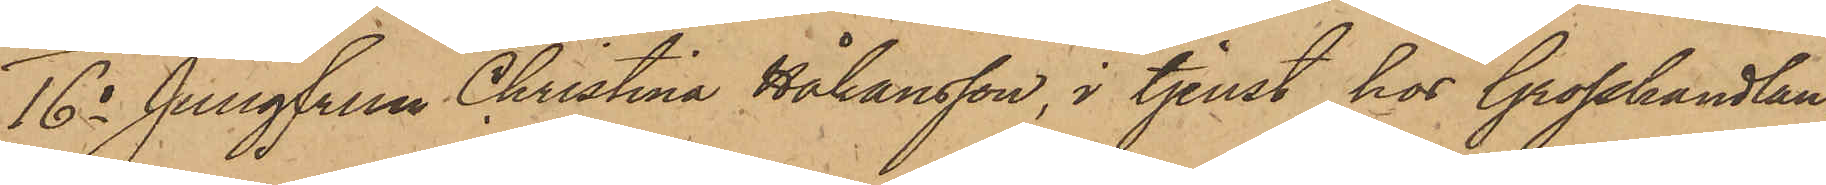16o Jungfrun Christina Håkansson, i tjenst hos Grosshandlan¬
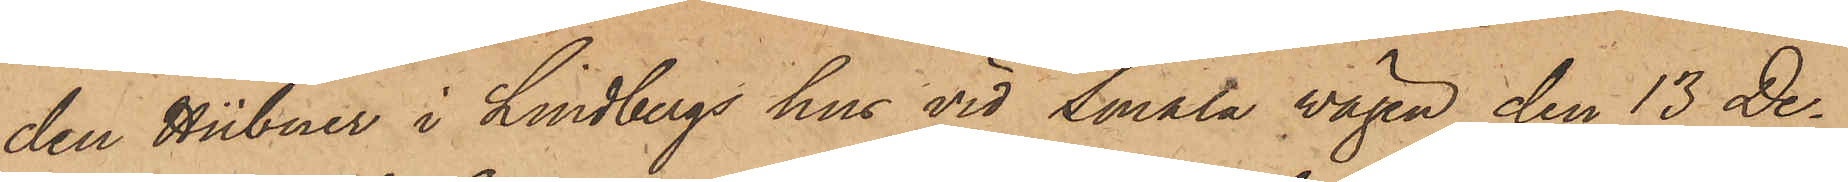den Hübner i Lindbergs hus vid Smala vägen den 13 De¬
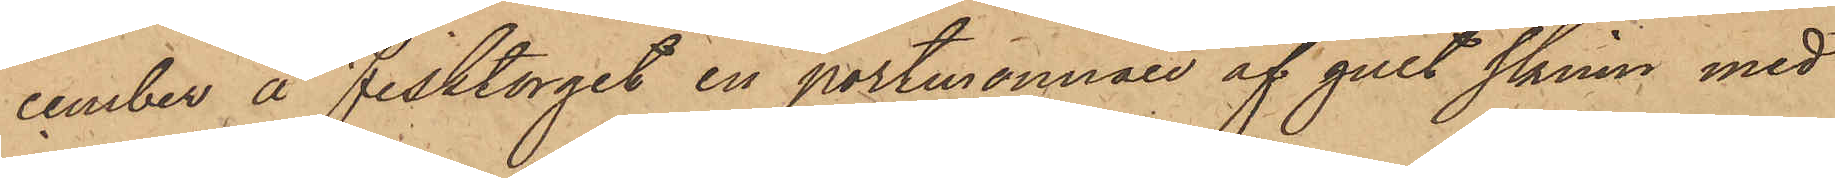cember å Fisktorget en portmonnaie af gult skinn med
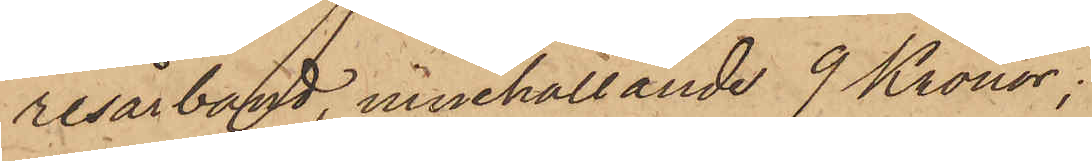resårband, innehållande 9 Kronor;
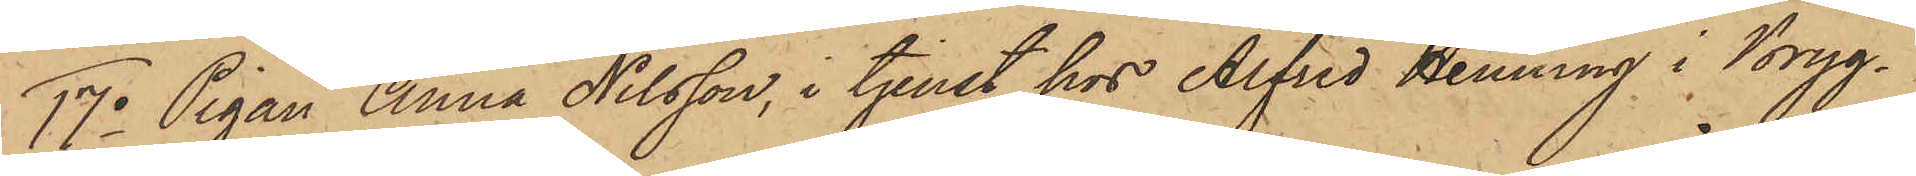17o Pigan Anna Nilsson, i tjenst hos Alfred Henning i Bryg¬
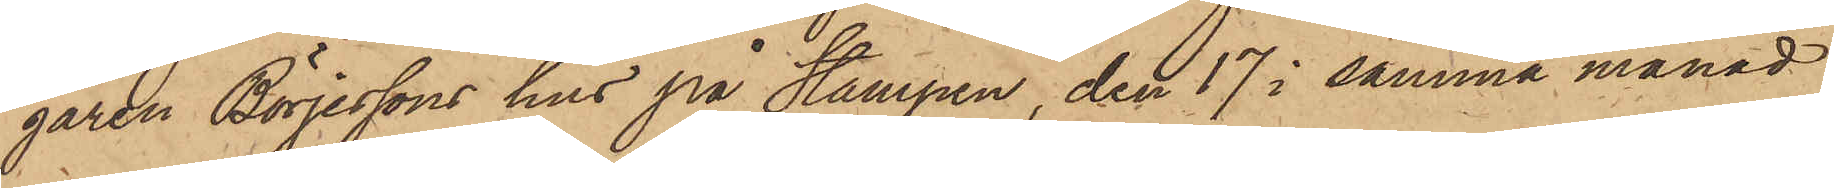garen Börjessons hus på Stampen, den 17 i samma månad
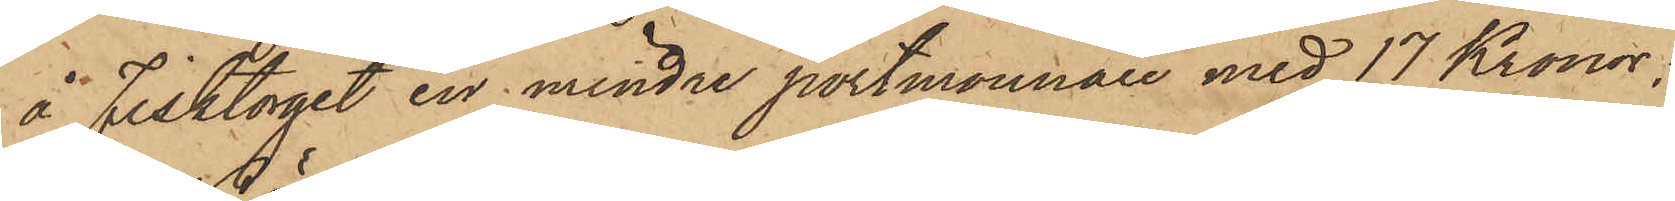å Fisktorget en mindre portmonnaie med 17 Kronor;
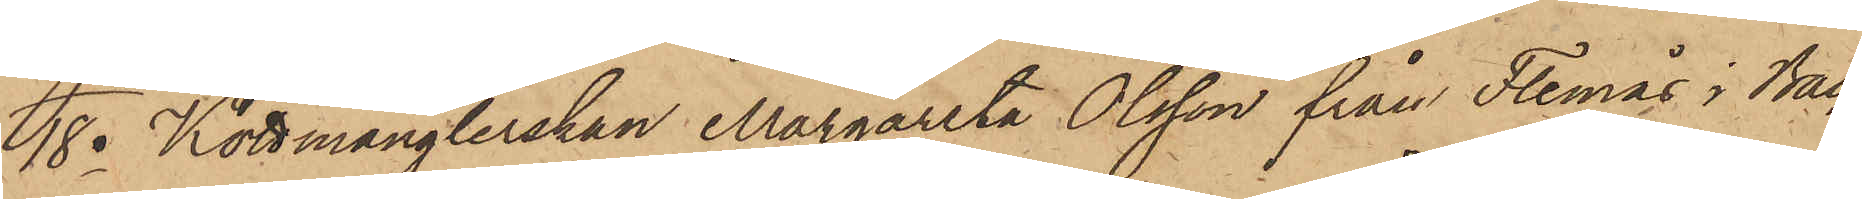18o Köttmånglerskan Margareta Olsson från Flemås i Bac¬
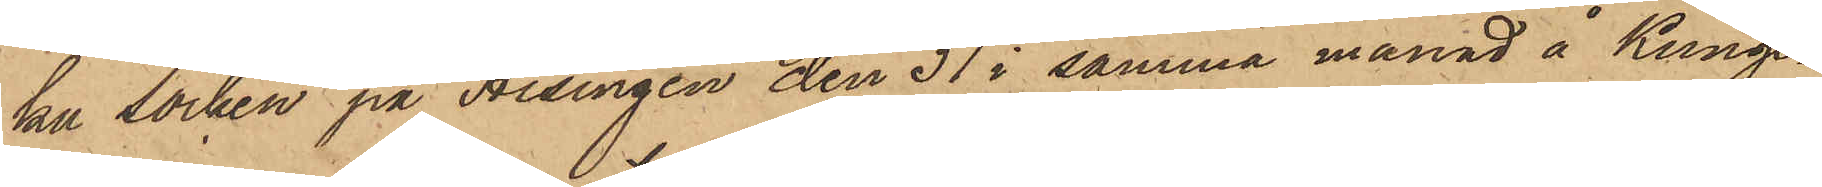ka Socken på Hisingen den 31 i samma månad å Kungs¬
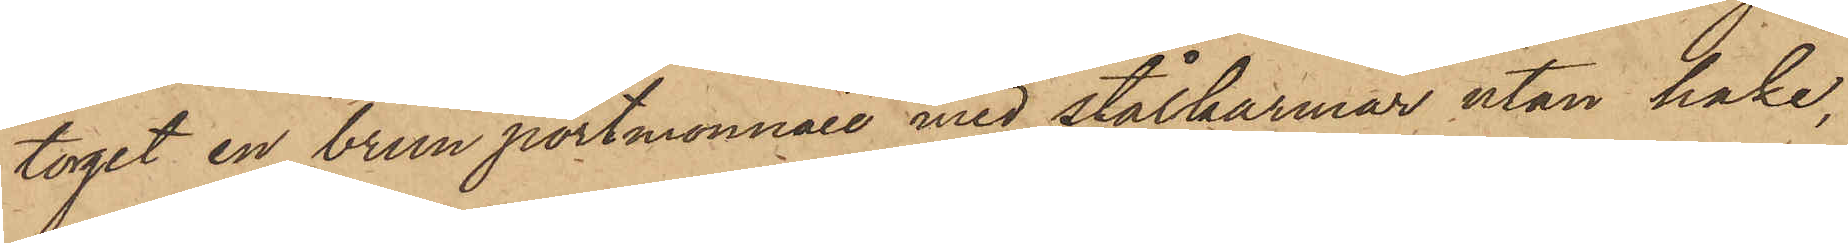torget en brun portmonnaie med stålkarmar utan hake,
